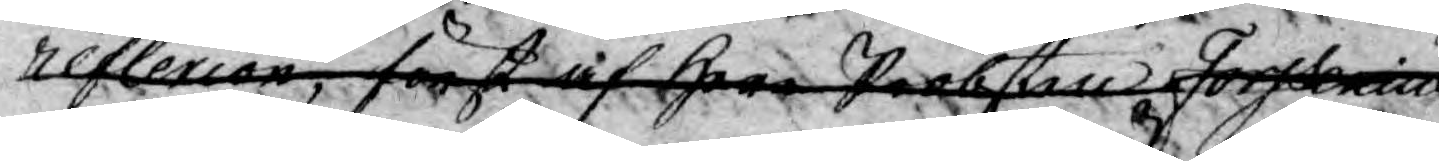reflecion, först af Herr Probßten Forssenius
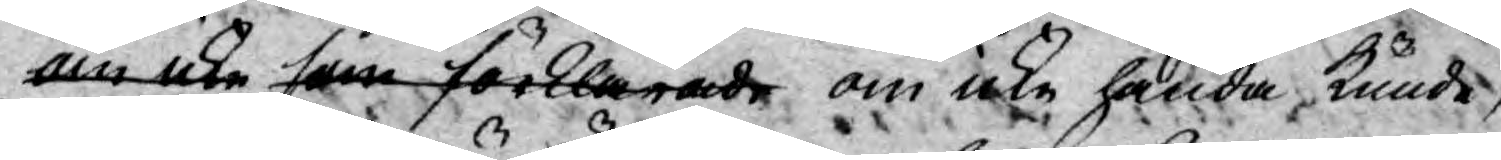om icke som förklarade om icke hända, kunde,
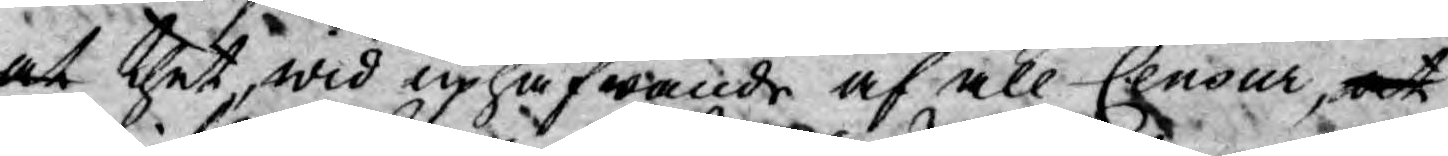at thet, wid uphäfwande af all Censur, at 
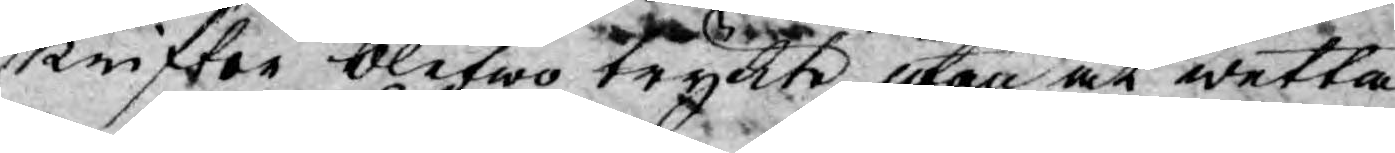skrifter blefwo tryckte utan at wetta
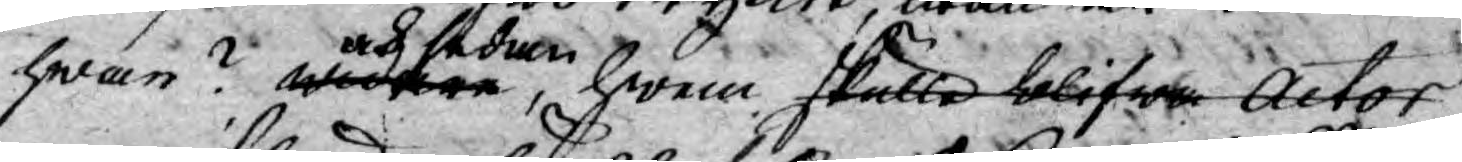hwar? Widare Och sedan, hwem skulle blifwe Actor
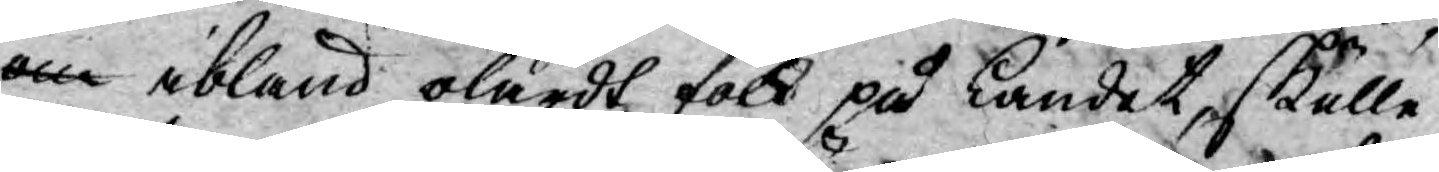om ibland olärdt folk på Landet, skulle
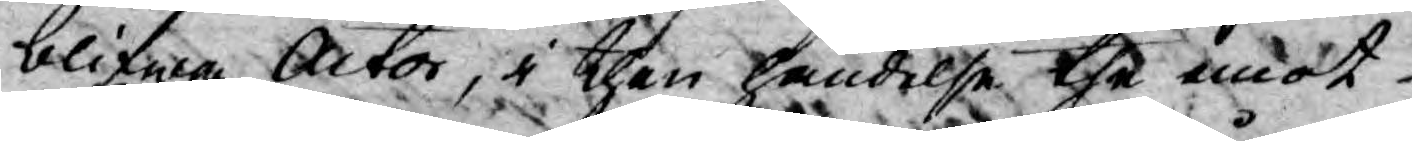blifwa Actor, i then händelse the emot
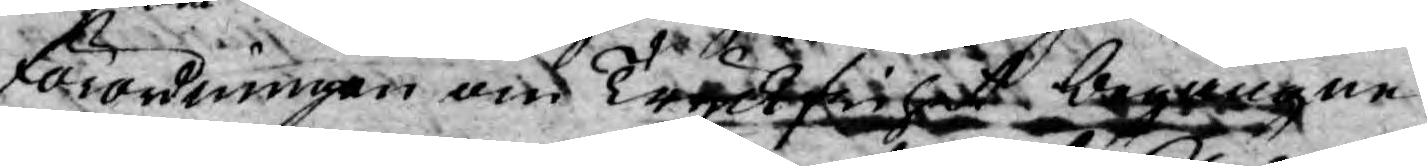förordningen om Tryckfrihet begångne
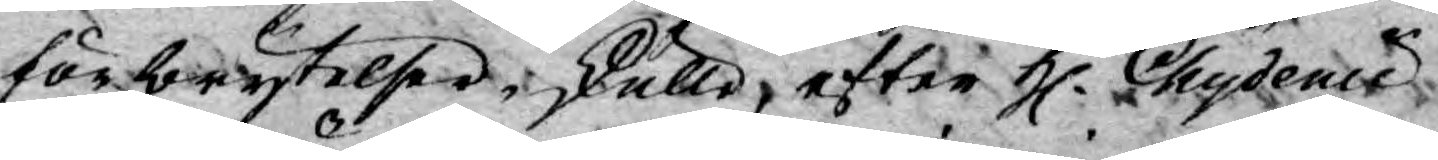förbrytelser, skulle, efter H. Chydenius
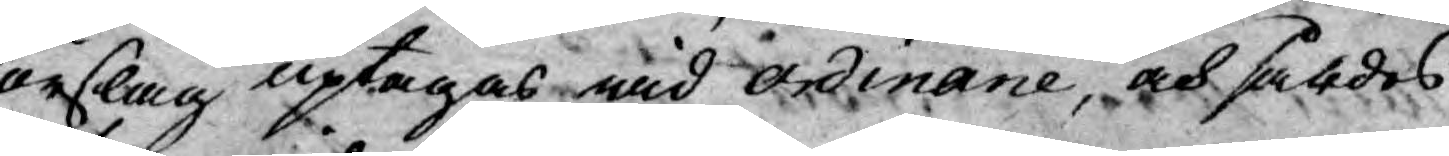förslag uptagas wid ordinarie, och såldes
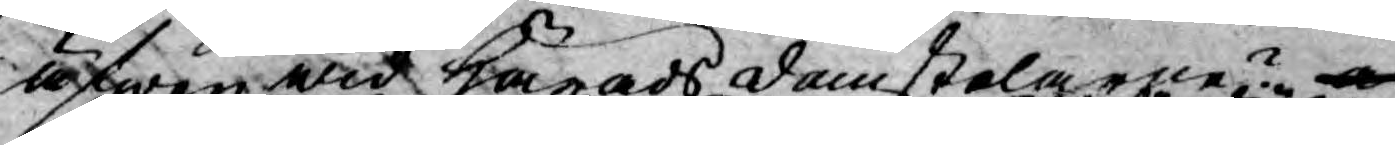äfwen wid Häradsdomstolarne? och
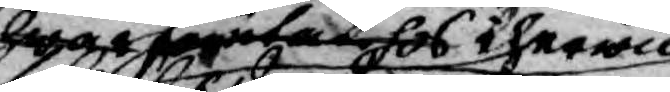hwarförutan hos therwid
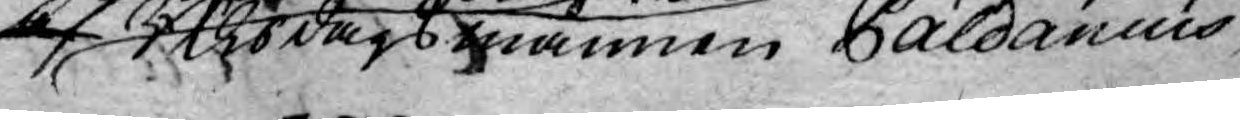Riksdagsmannen Paldanius 
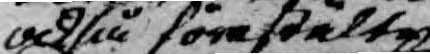också förestälte
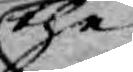thet
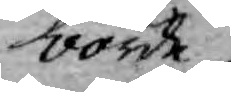borde
